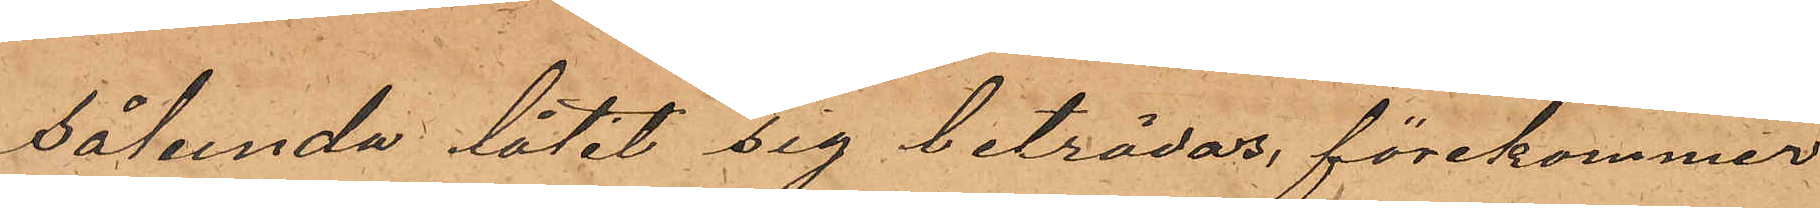sålunda låtit sig beträdas, förekommer
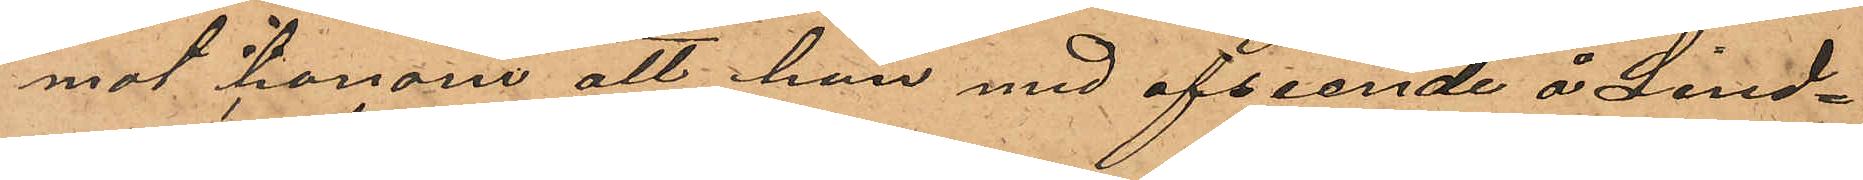mot honom att han med afseende å Lind¬
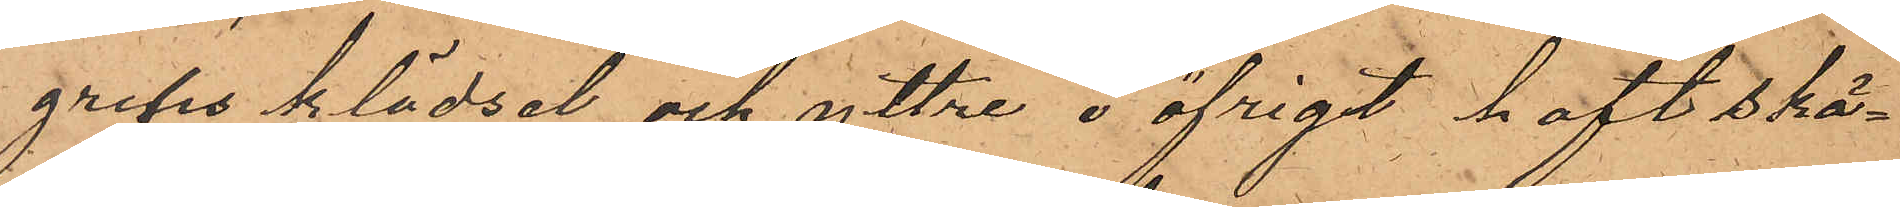grens klädsel och yttre i öfrigt haft skä¬
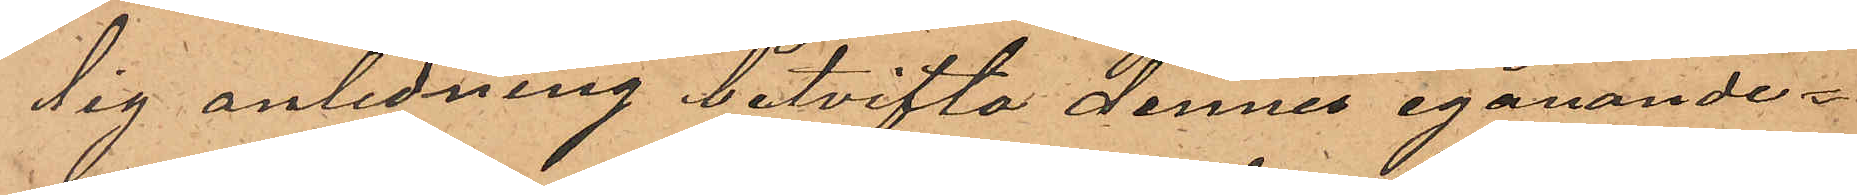lig anledning betvifla dennes egande¬
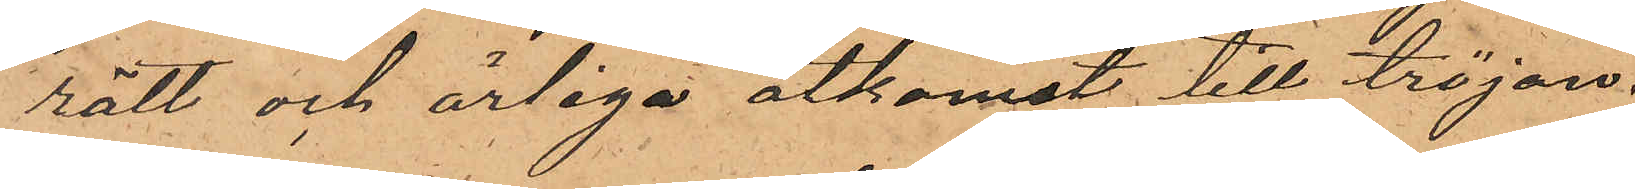rätt och ärliga åtkomst till tröjan,
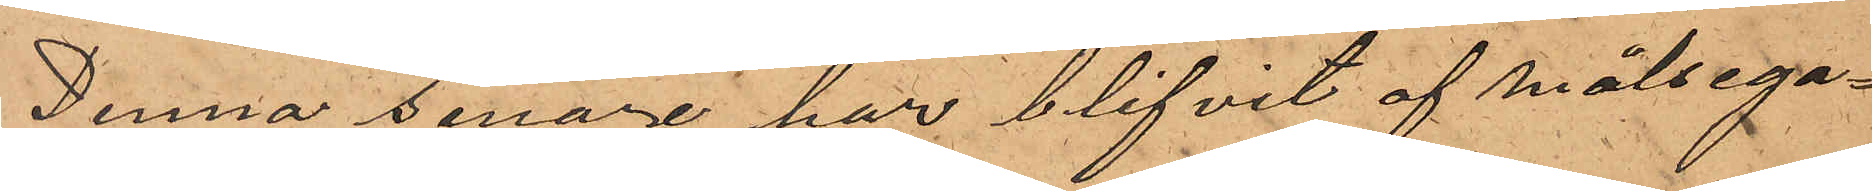Denna senare har blifvit af målsega¬
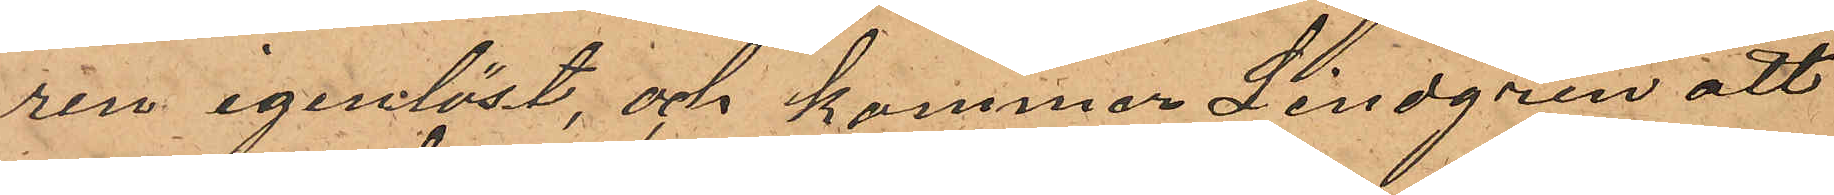ren igenlöst, och kommer Lindgren att
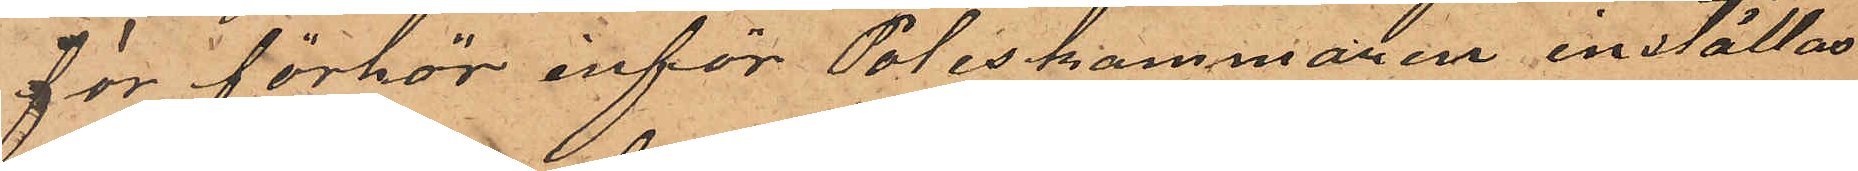för förhör inför Poliskammaren inställas
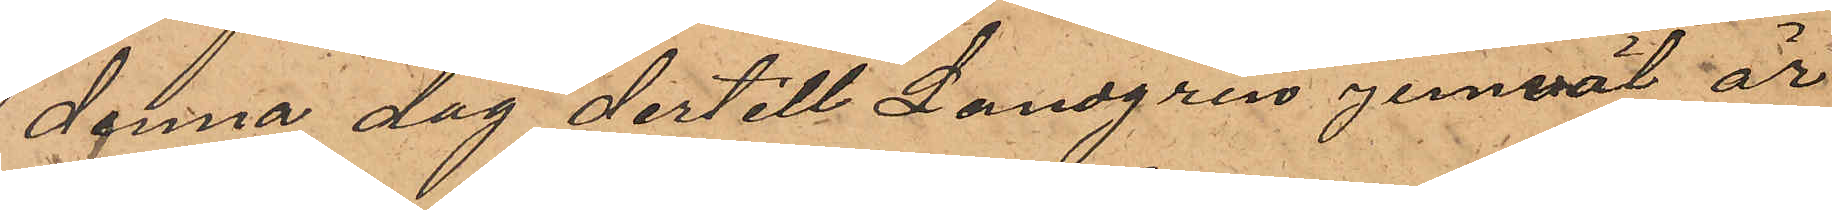denna dag dertill Landgren jemväl är
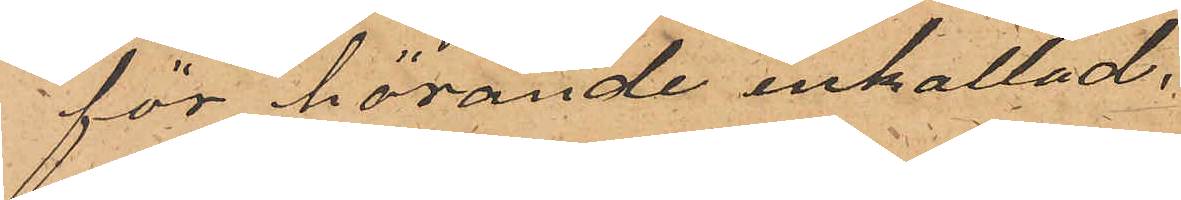för hörande inkallad.
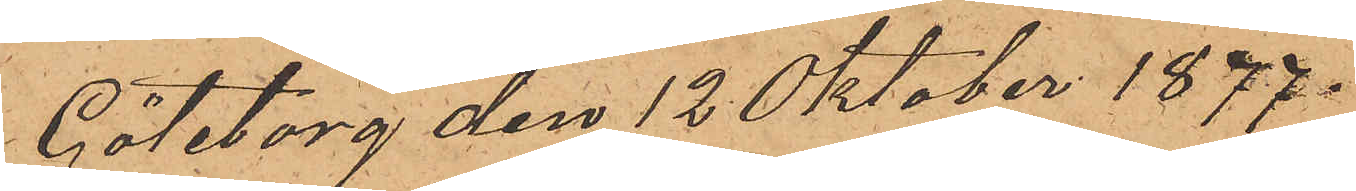Göteborg den 12 Oktober 1877.
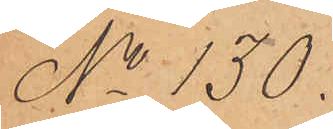No 130.
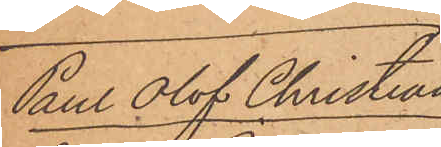Paul Olof Christian
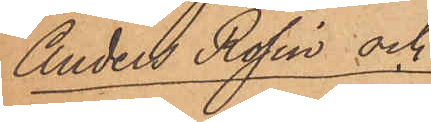Anders Rosén och
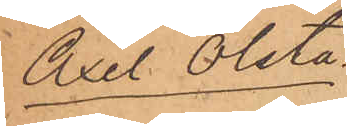Axel Olsta
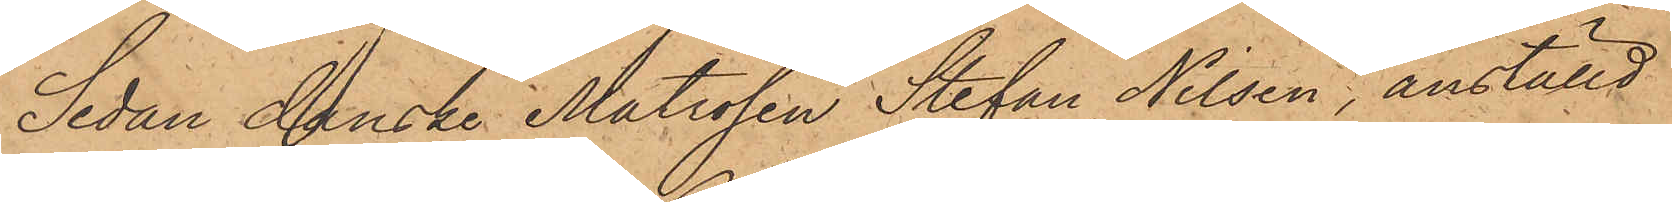Sedan danske Matrosen Stefan Nilsen, anställd
